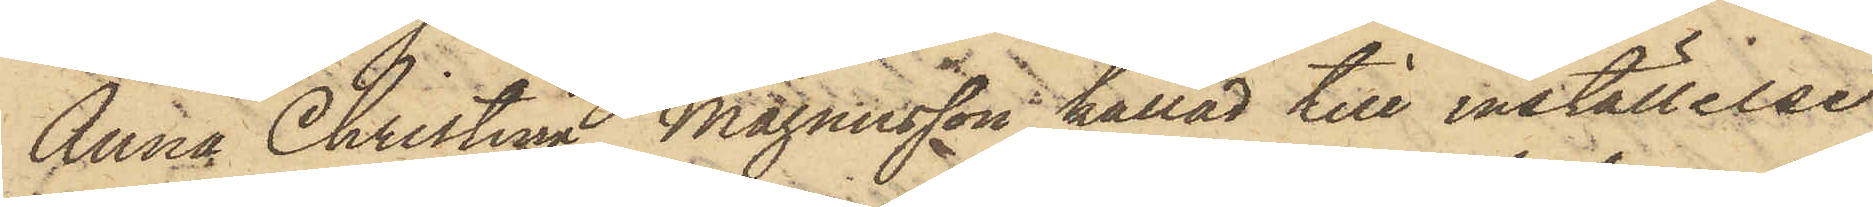Anna Christina Magnusson kallad till inställelse
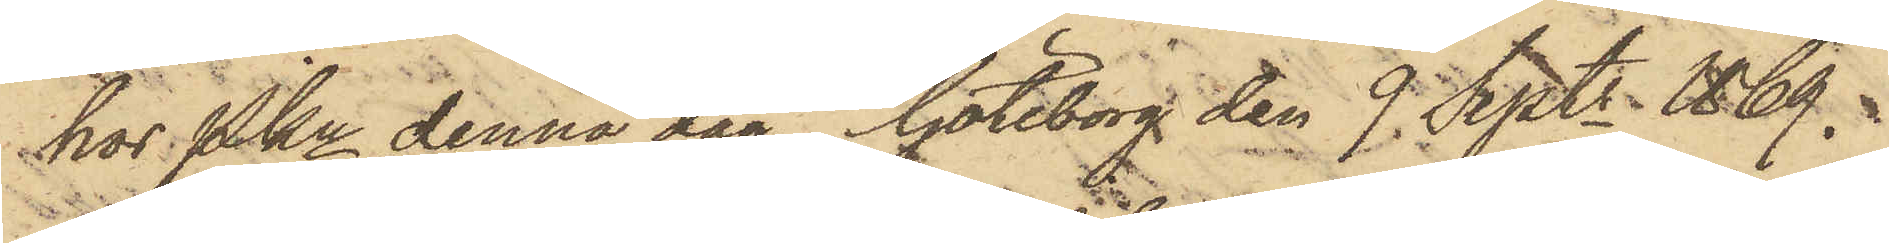hos Pkn denna dag. Göteborg den 9 Sept. 1869.
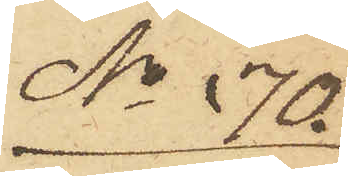No 170.
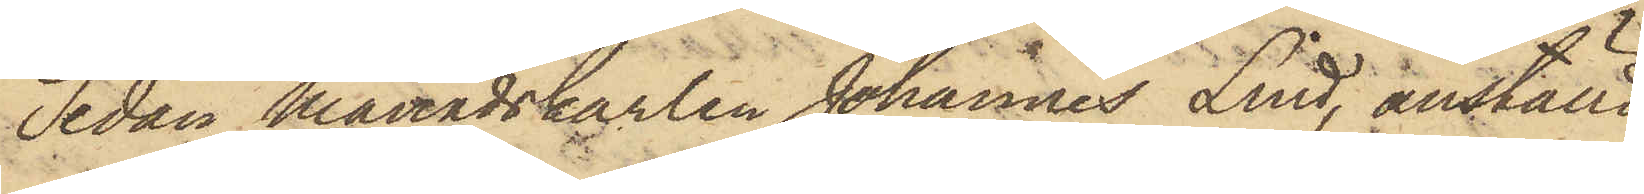Sedan Månadskarlen Johannes Lind, anställd
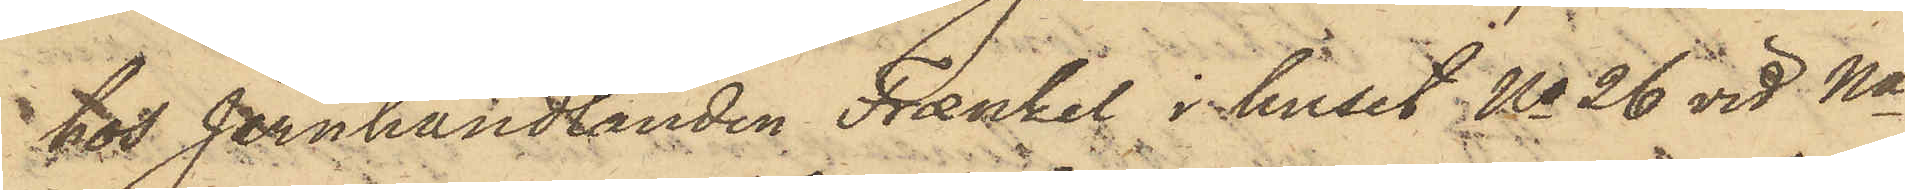hos Jernhandlanden Frænkel i huset No 26 vid Na
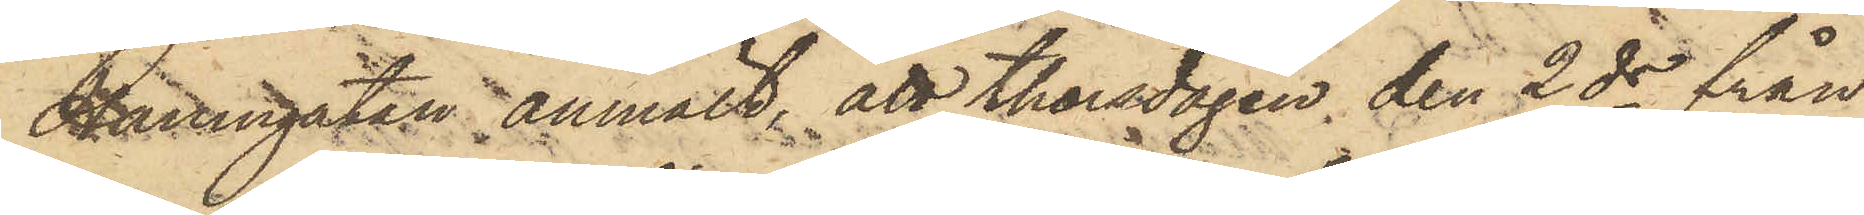Hamngatan anmält, att Thorsdagen den 2 ds från
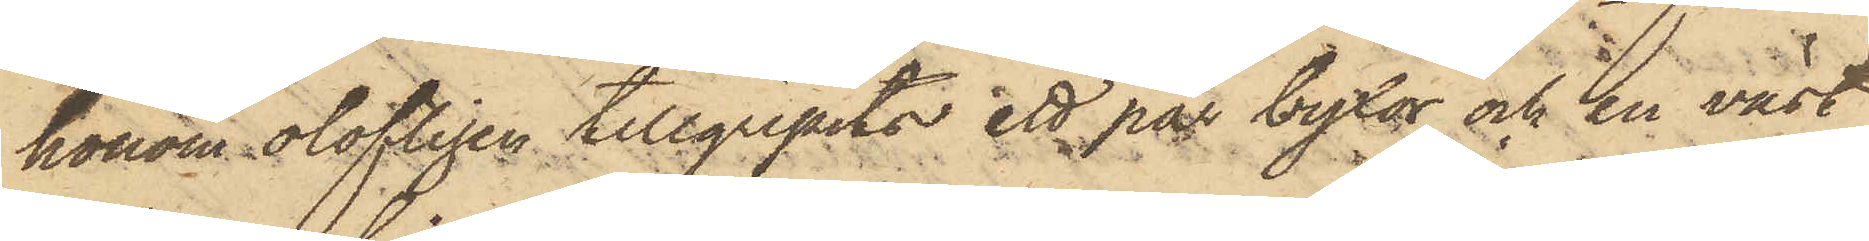honom olofligen tillgripits ett par byxor och en väst
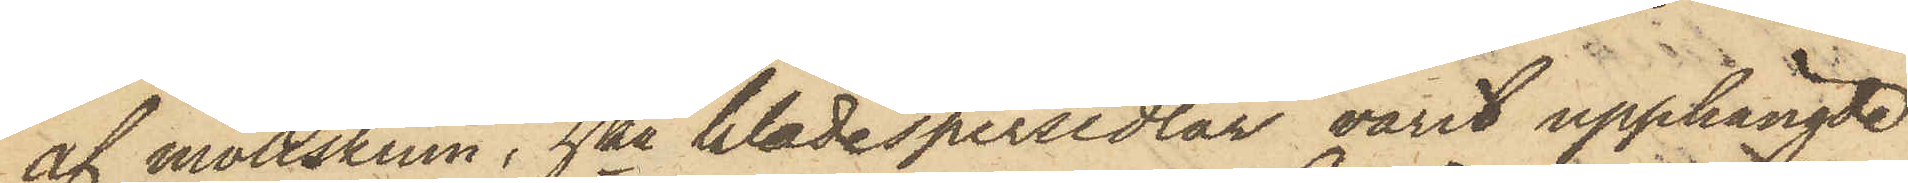af mollskinn, hka klädespersedlar varit upphängde
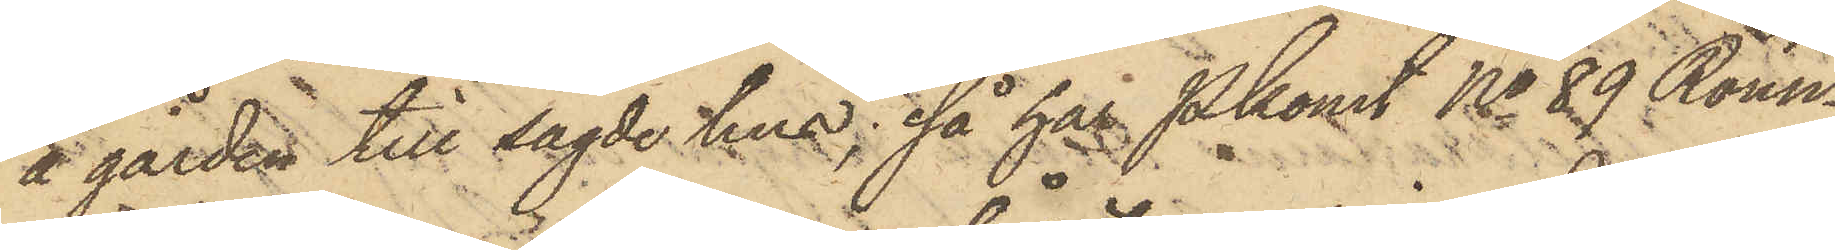å gården till sagde hus; så har Pkonst No 89 Rönn¬
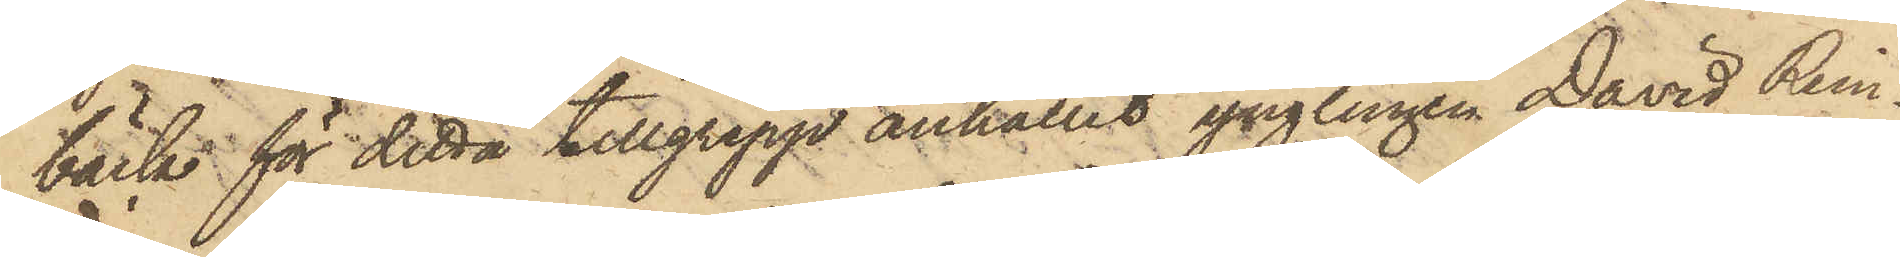bäck för detta tillgrepp anhållit ynglingen David Rein¬
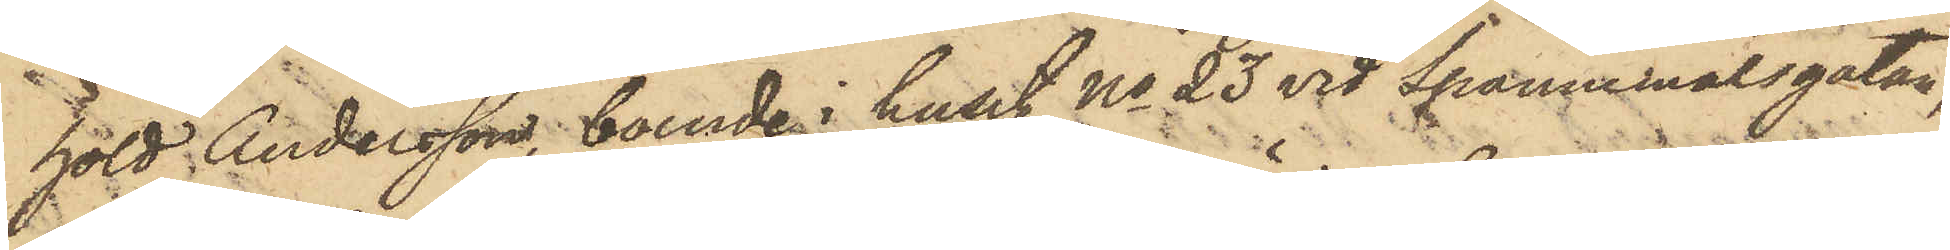hold Andersson, boende i huset No 23 vid Spannemålsgatan,
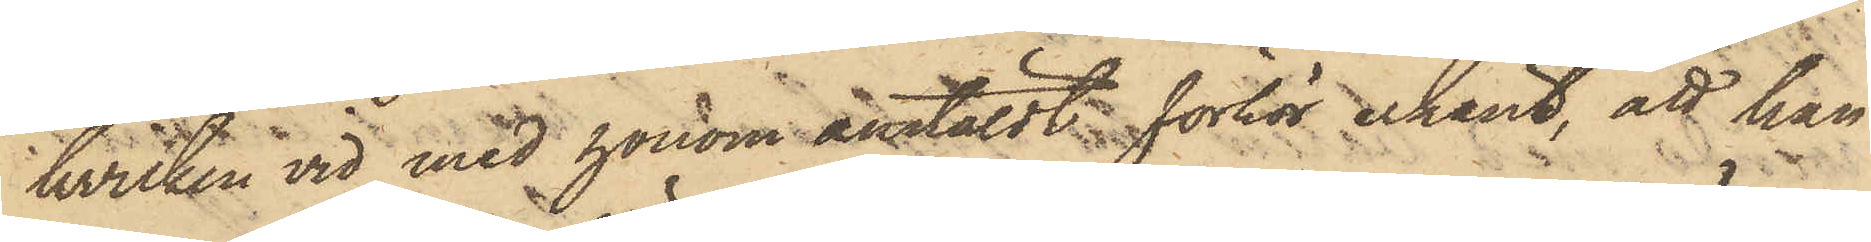hvilken vid med honom anstäldt förhör erkänt, att han
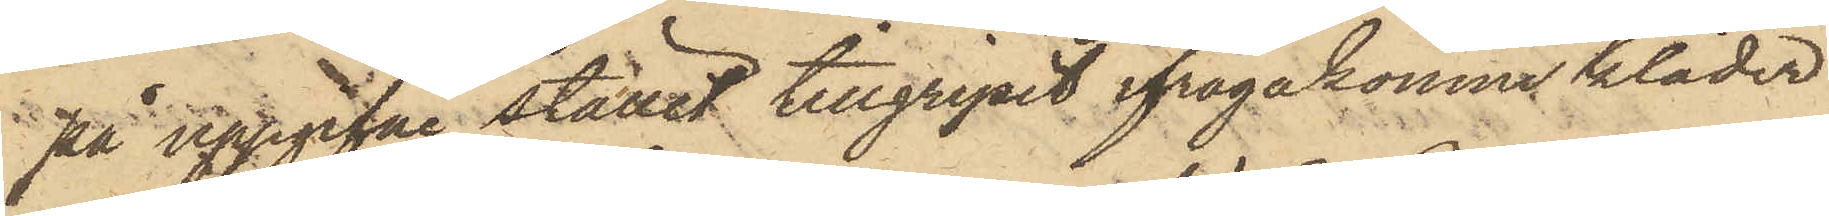på uppgifne stället tillgripit ifrågakomne kläder,
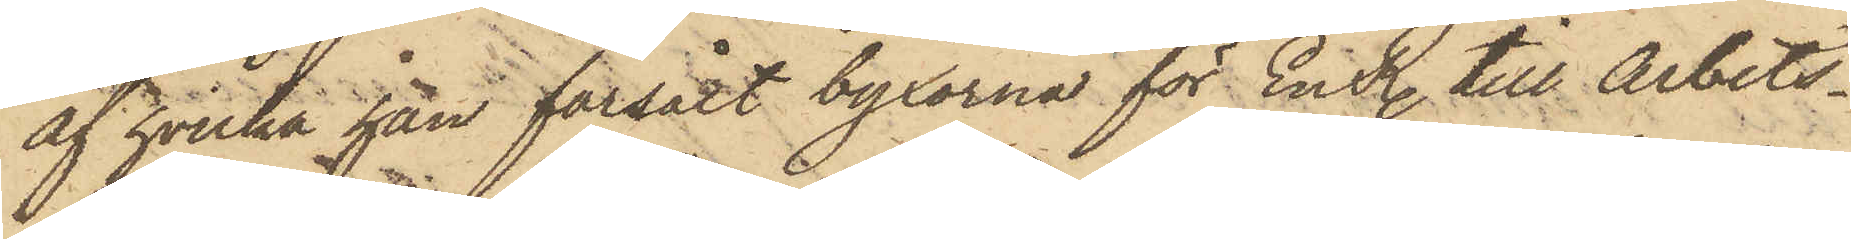af hvilka han försålt byxorna för En R. till Arbets¬
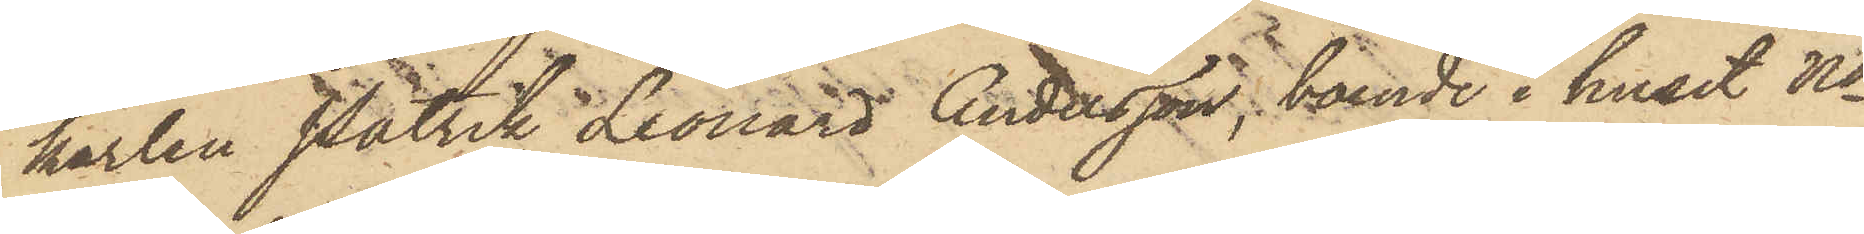karlen Patrik Leonard Andersson, boende i huset No
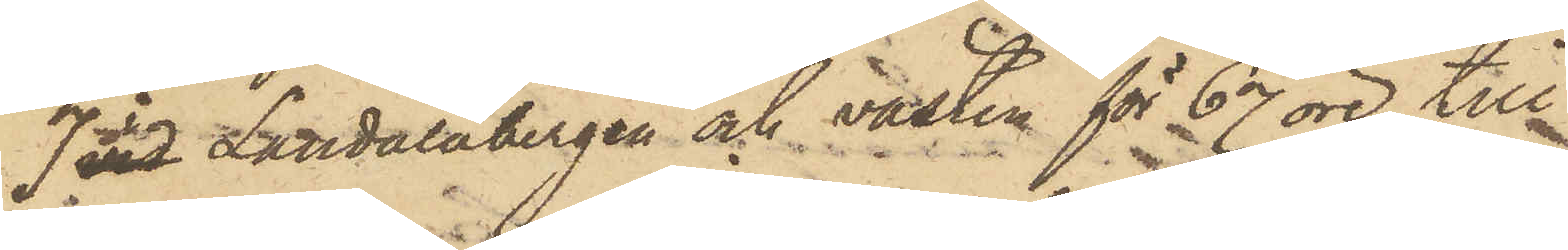7 vid Landalabergen och västen för 67 öre till
